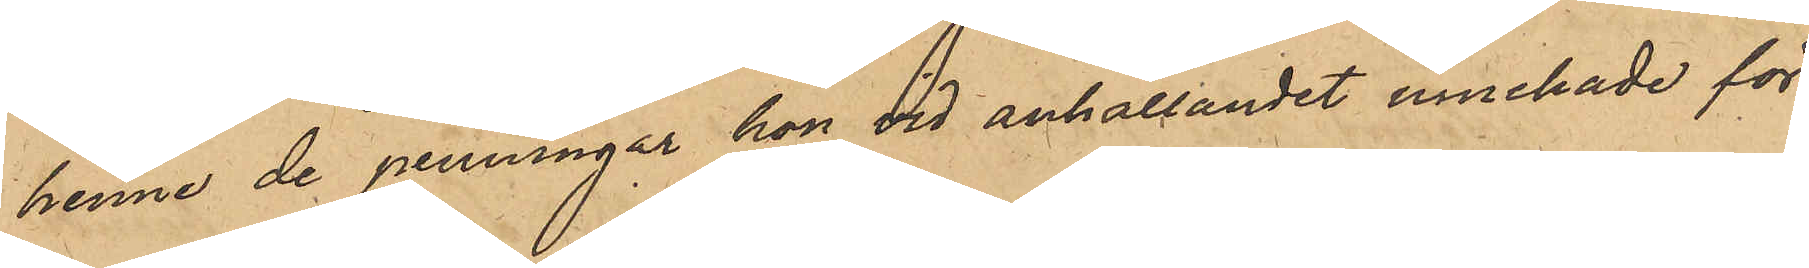henne de penningar hon vid anhållandet innehade för
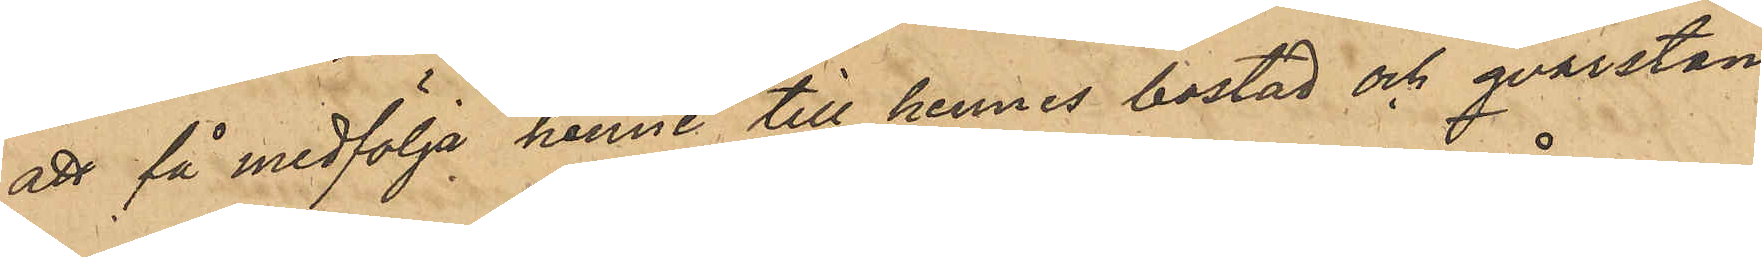att få medfölja henne till hennes bostad och qvarstan¬
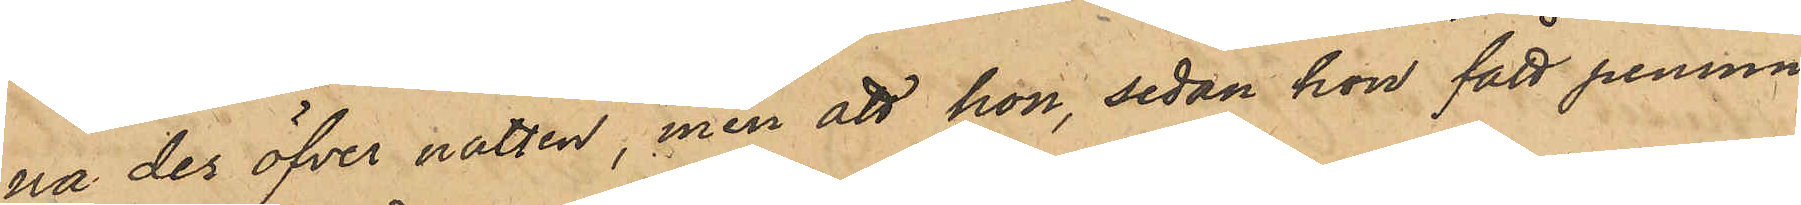na der öfver natten, men att hon, sedan hon fått pennin¬
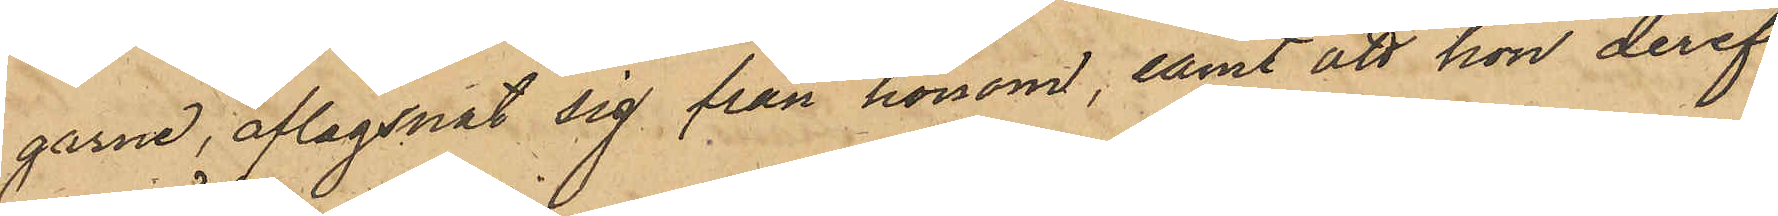garne, aflägsnat sig från honom, samt att hon deref¬
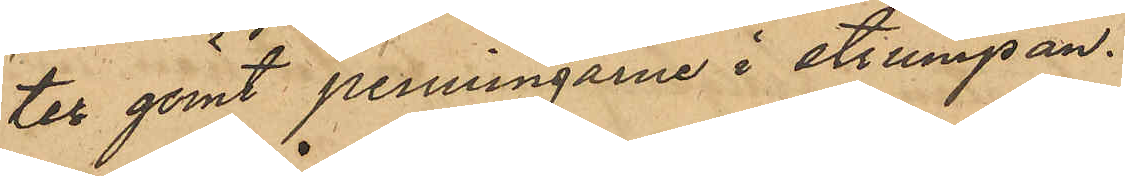ter gömt penningarne i strumpan.
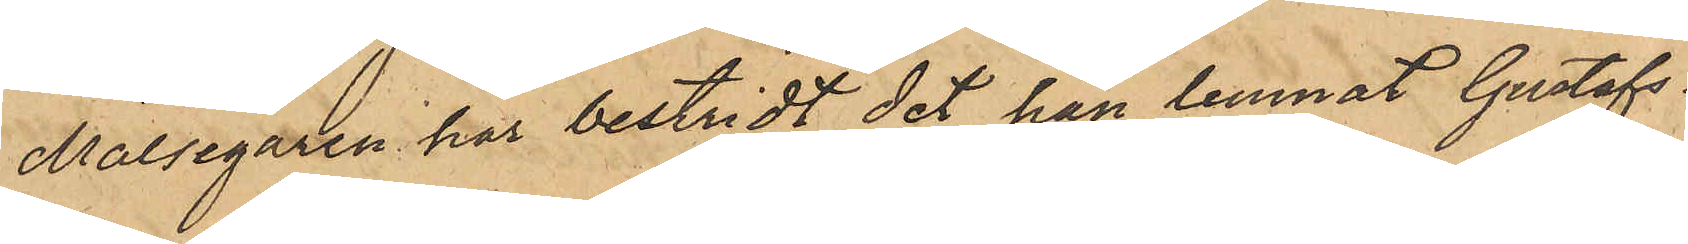Målsegaren har bestridt det han lemnat Gustafs¬
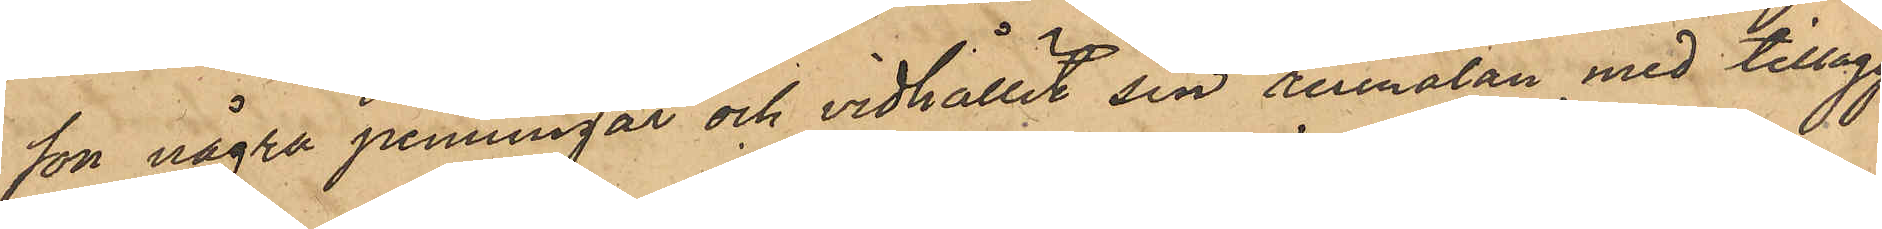son några penningar och vidhållit sin anmälan med tillägg,
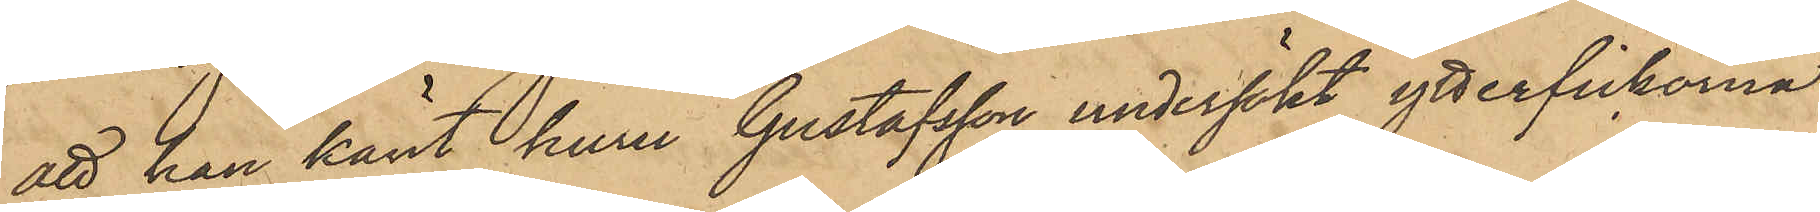att han känt huru Gustafsson undersökt ytterfickorna
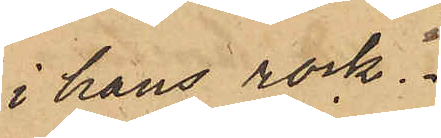i hans rock.
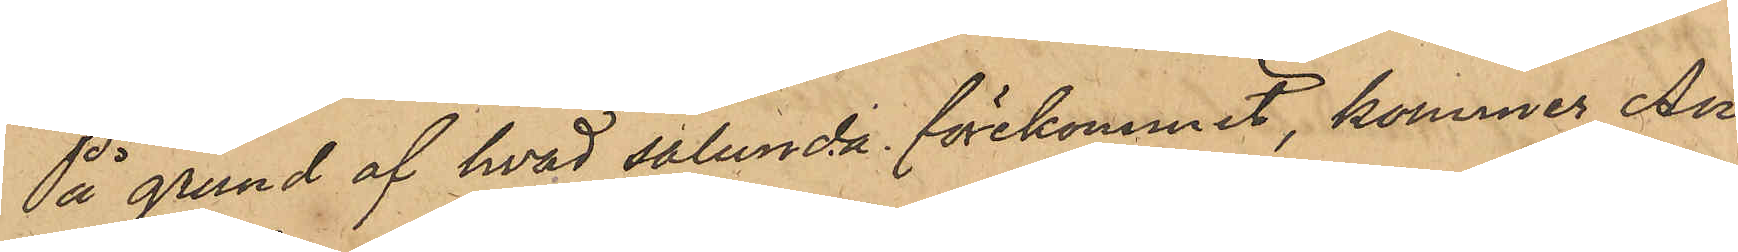På grund af hvad sålunda förekommit, kommer An¬
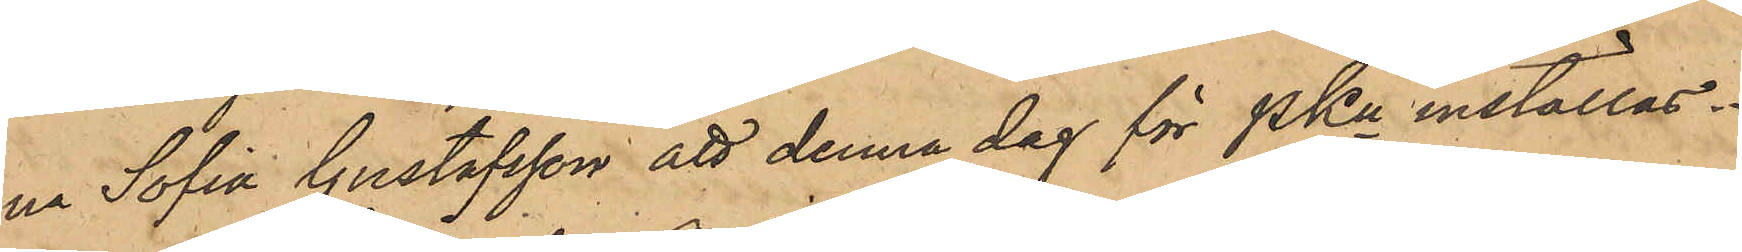na Sofia Gustafsson att denna dag för PKn inställas.
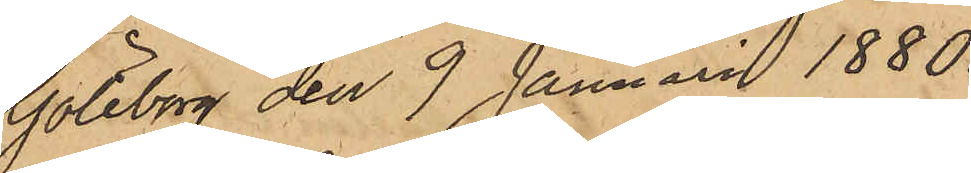Göteborg den 9 Januari 1880.
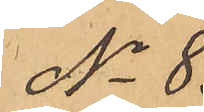No 8.
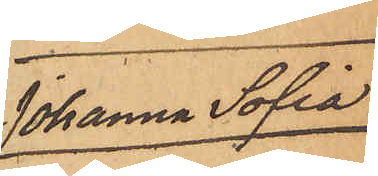Johanna Sofia
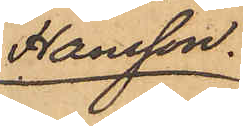Hansson.
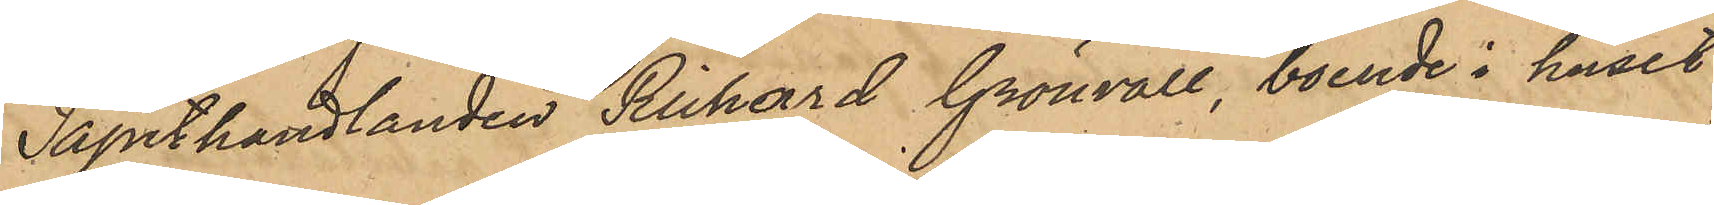Tapethandlanden Richard Grönvall, boende i huset
